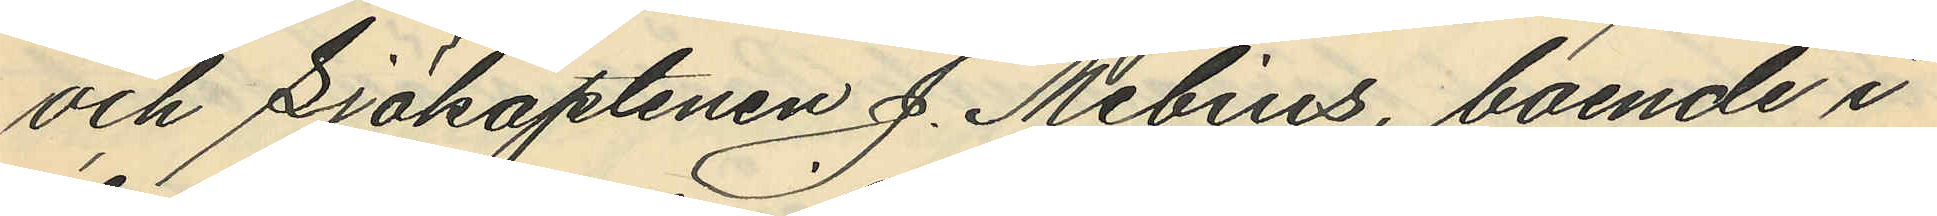och Sjökaptenen J. Mebius, boende i
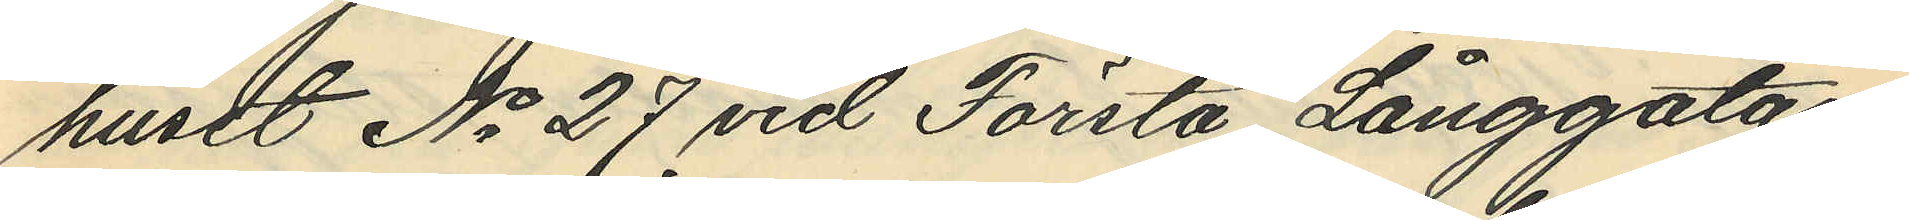huset No 27 vid Första Långgatan,
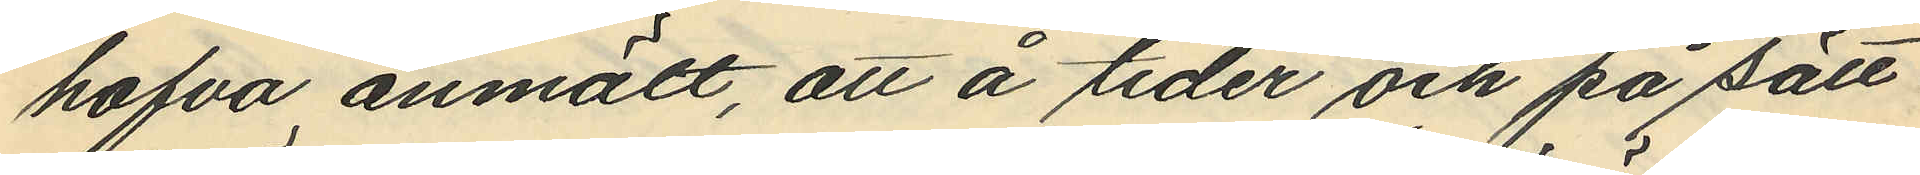hafva anmält, att å tider och på sätt
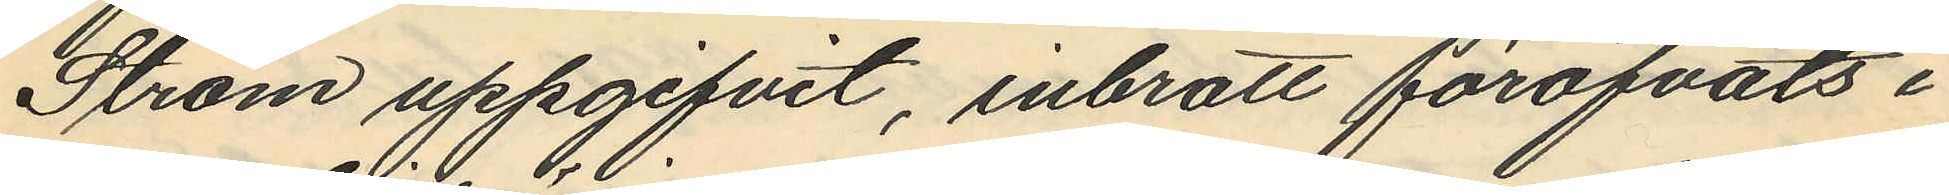Ström uppgifvit, inbrott föröfvats i
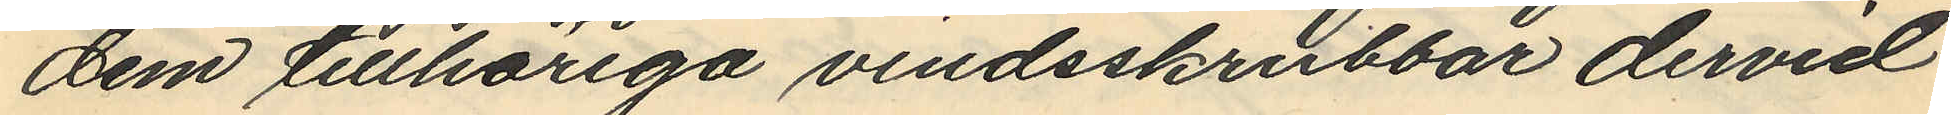dem tillhöriga vindsskrubbar dervid
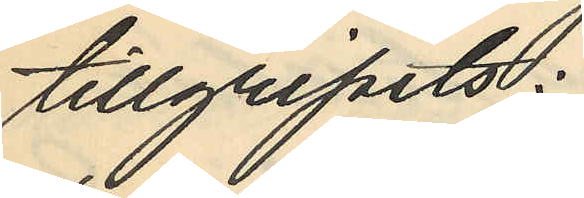tillgripits:
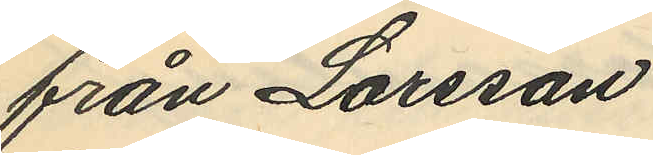från Larsson
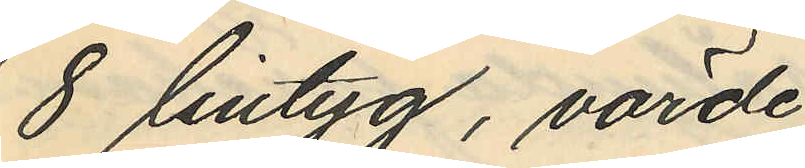8 lintyg, värde
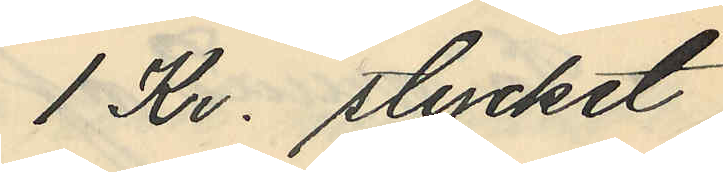1 Kr. stycket
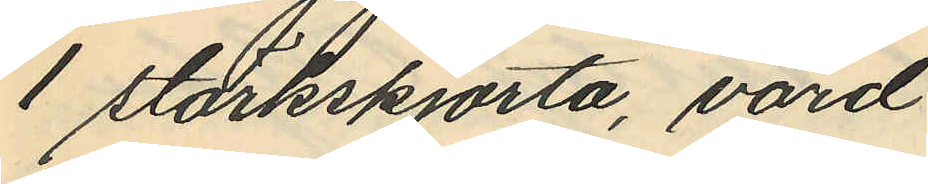1 stärkskjorta, värd
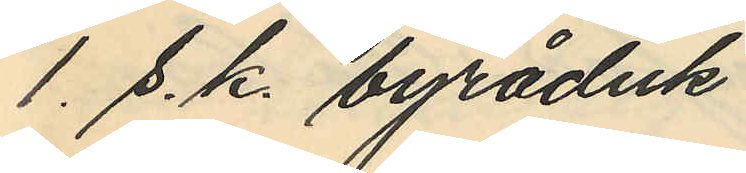1. s. k. byråduk
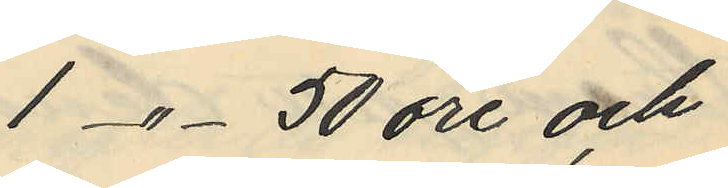1 -"- 50 öre och
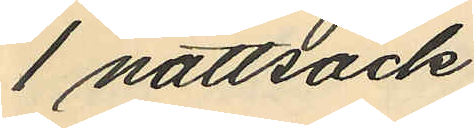1 nattsäck
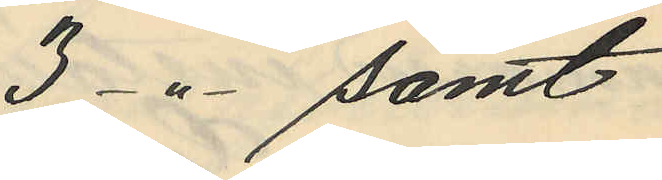3 -"- samt
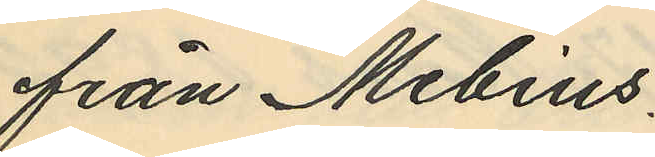från Mebius
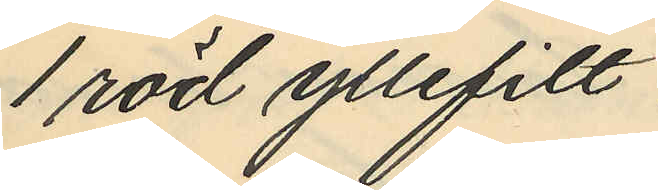1 röd yllefilt
